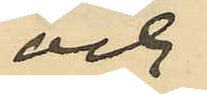och
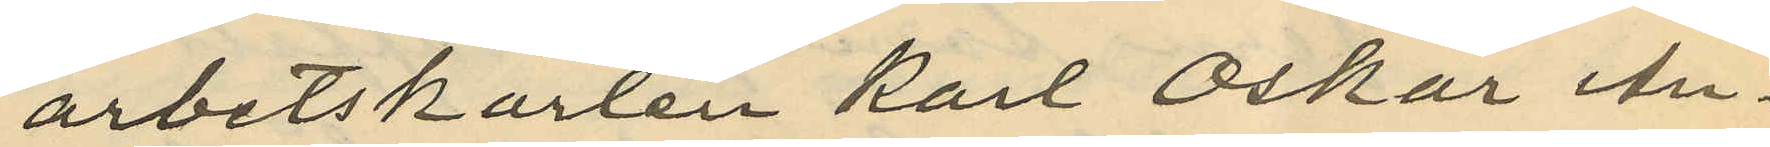arbetskarlen Karl Oskar An¬
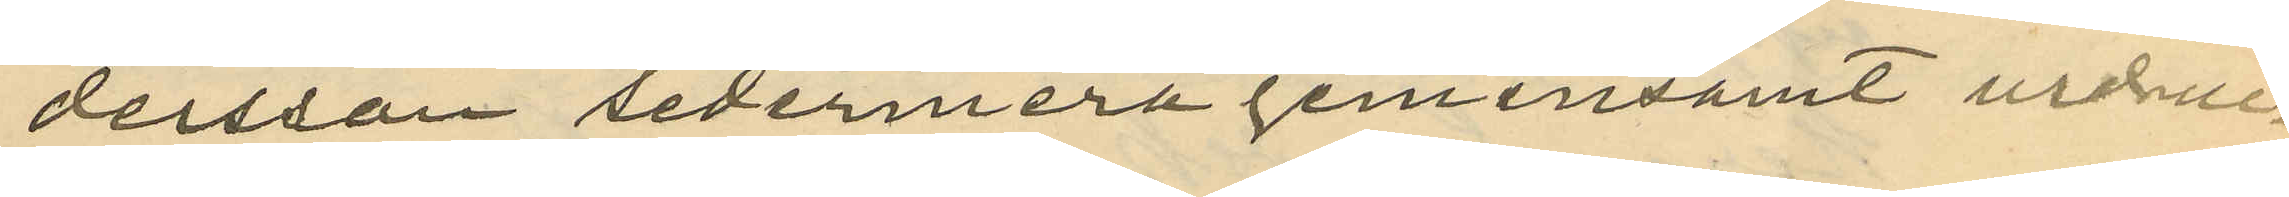dersson sedermera gemensamt urdruc¬
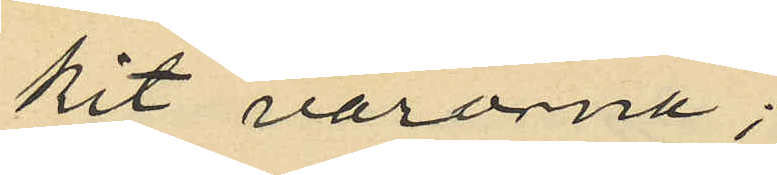kit varorna;
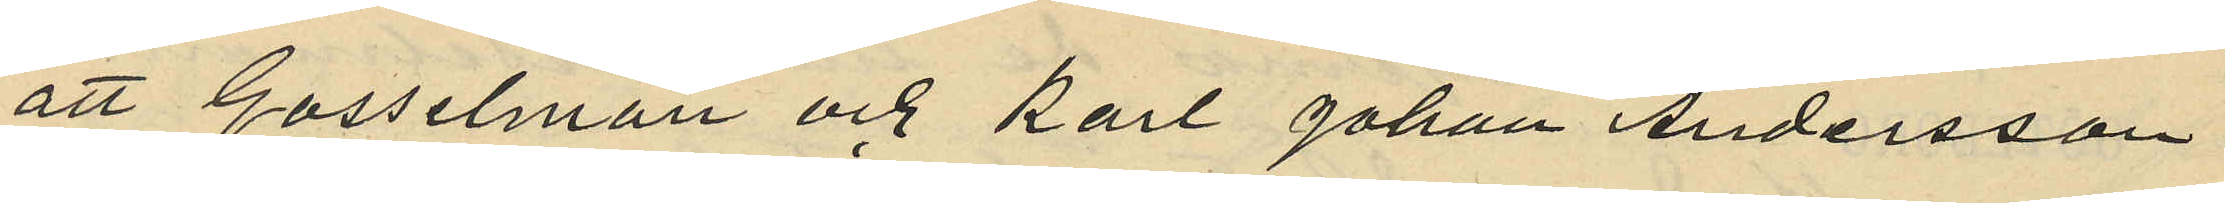att Gosselman och Karl Johan Andersson
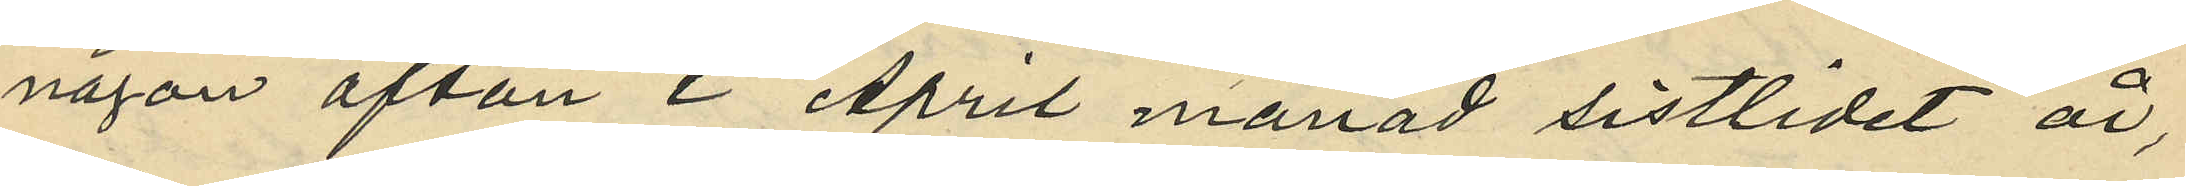någon afton i April månad sistlidet år,
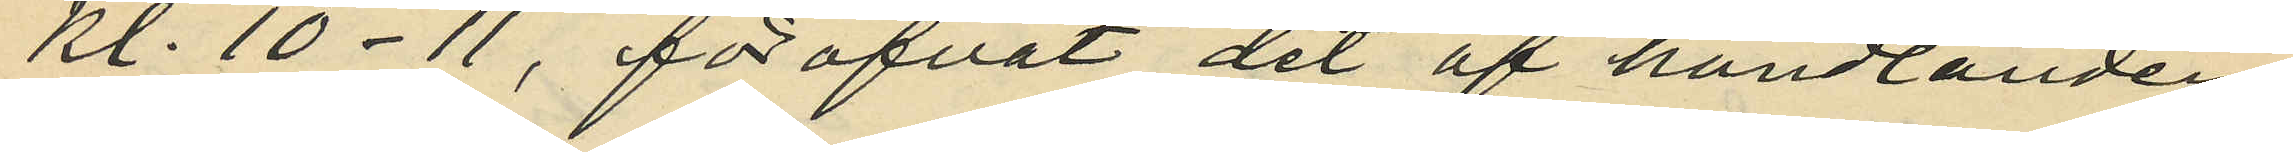kl. 10-11, föröfvat det af handlanden
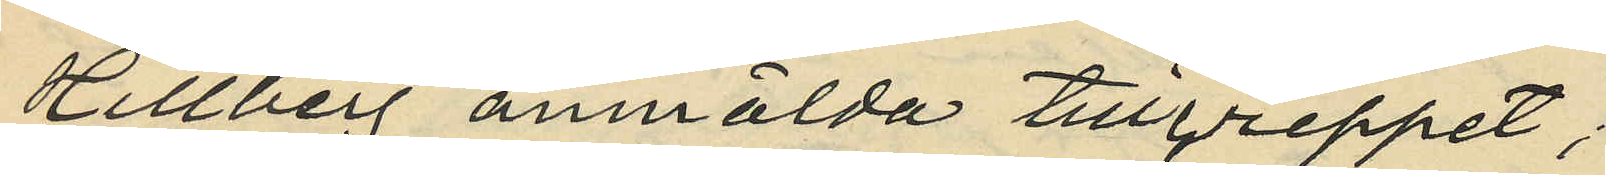Hillberg anmälda tillgreppet;
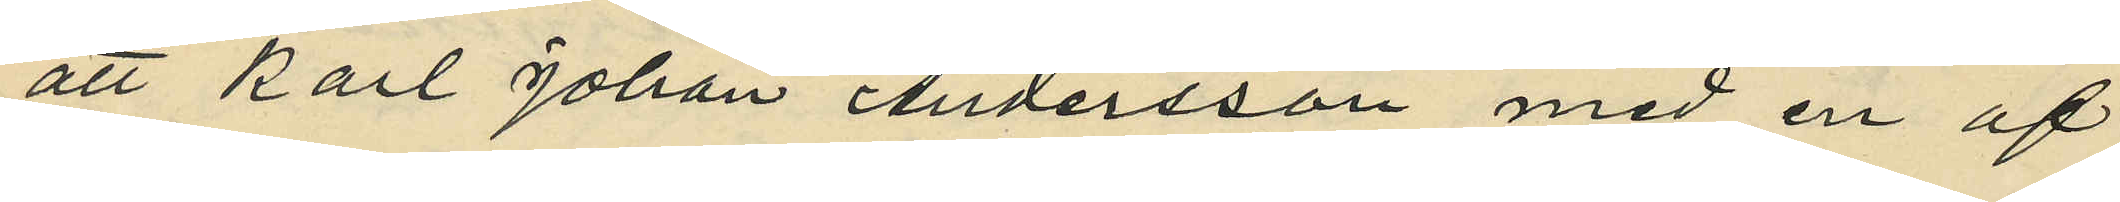att Karl Johan Andersson med en af
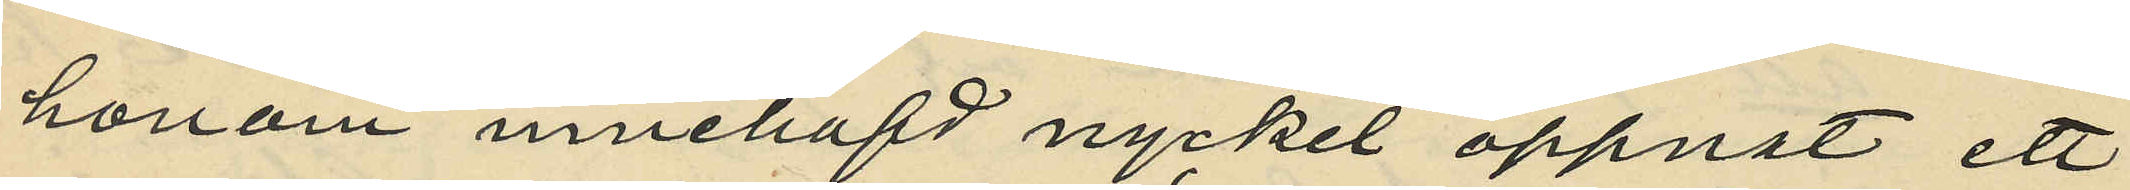honom innehafd nyckel öppnat ett
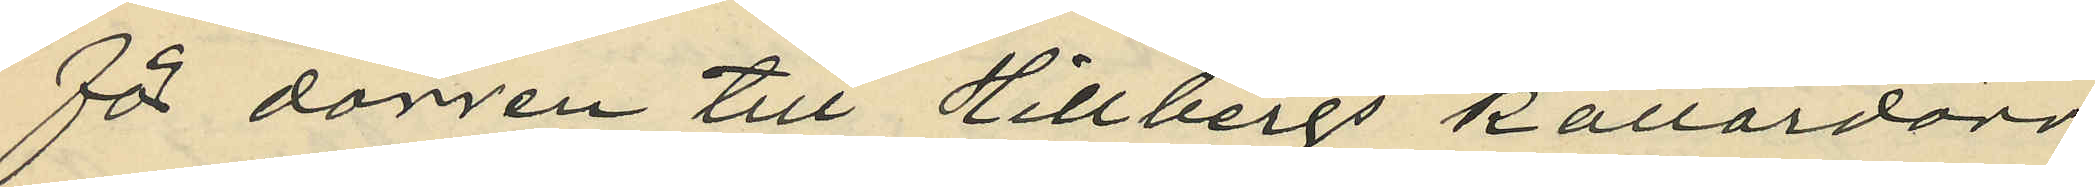för dörren till Hillbergs källardörr
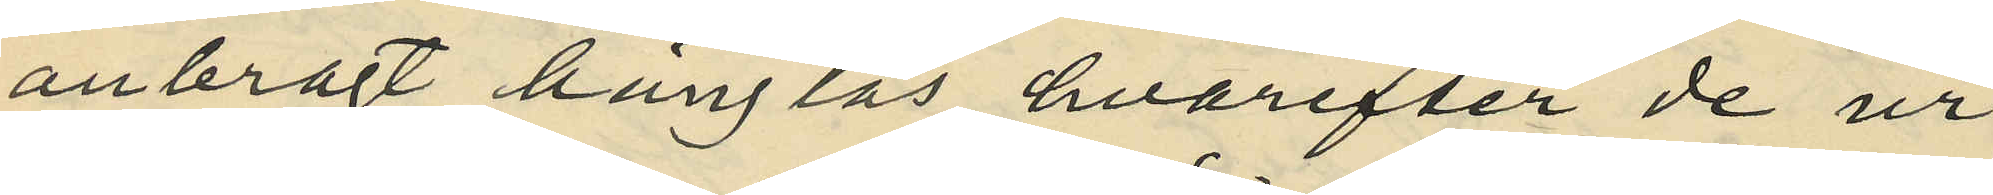anbragt hänglås hvarefter de ur
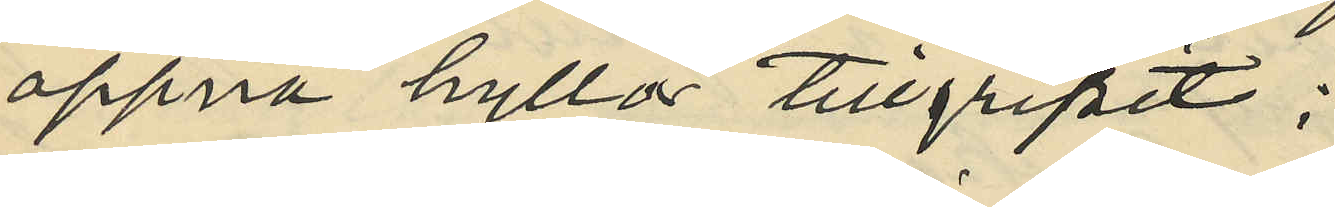öppna hyllor tillgripit:
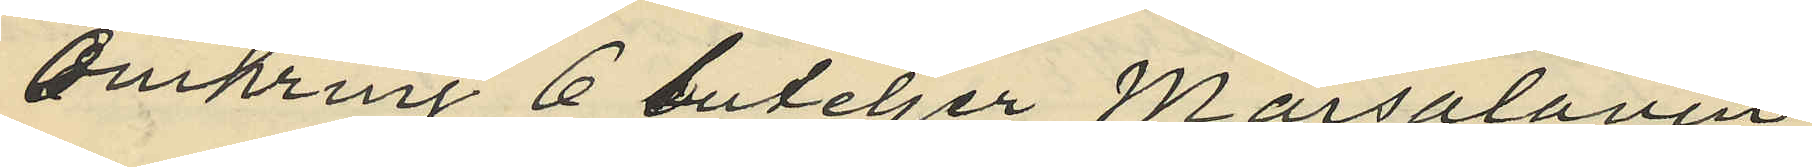omkring 6 buteljer Marsalavin,
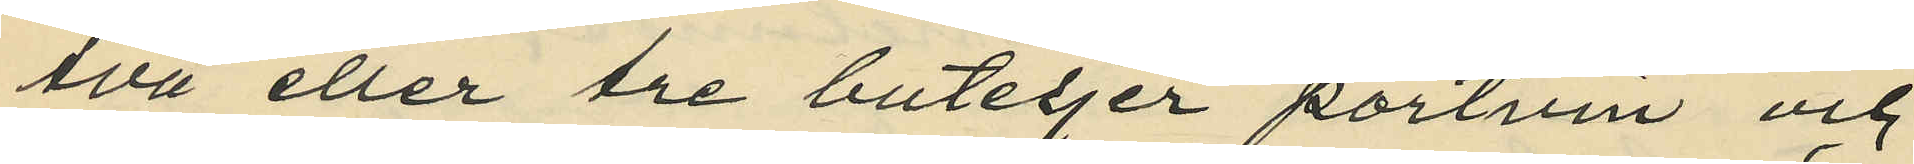två eller tre buteljer portvin och
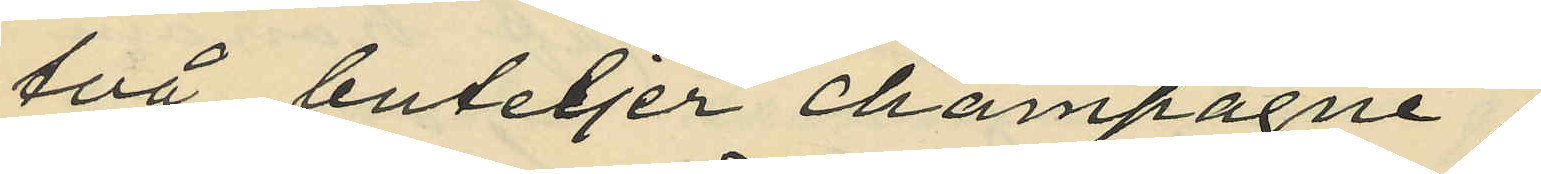två buteljer champagne;
